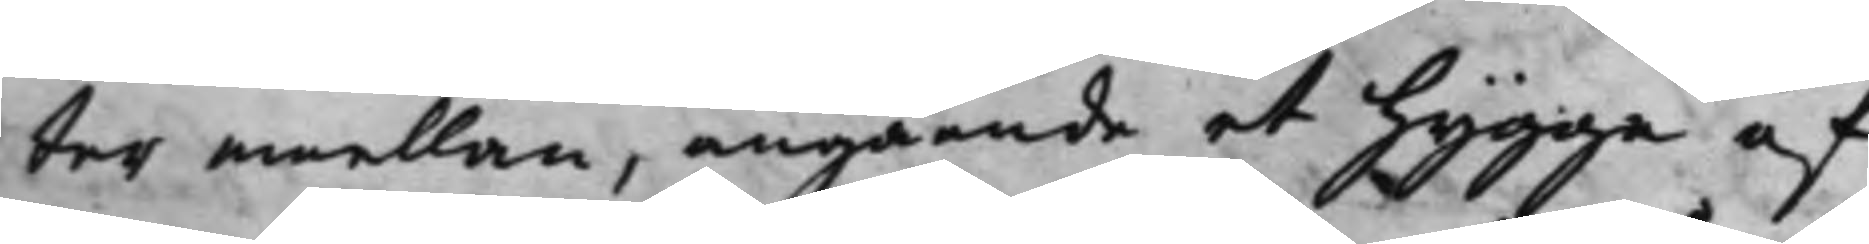ter emellan, angående et hygge af
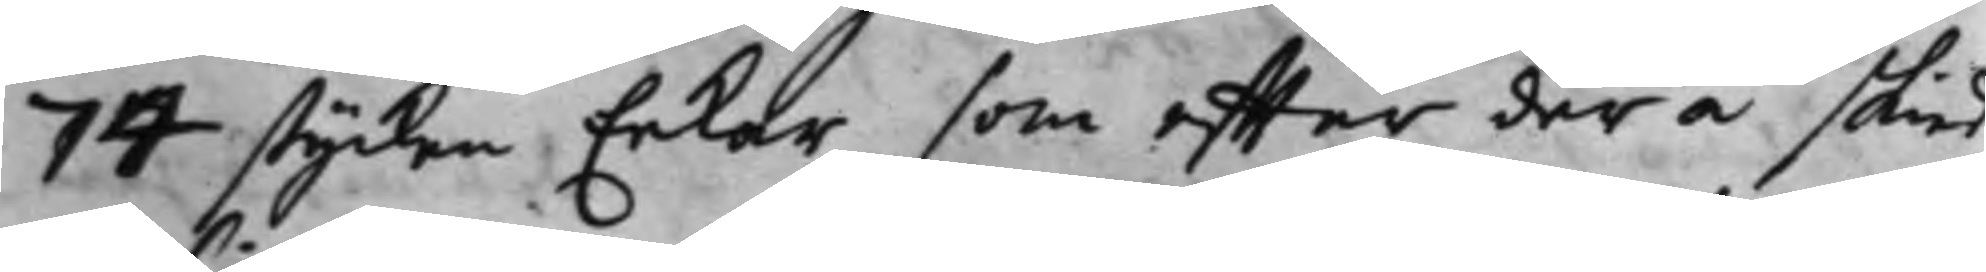74 stycken Eekar som effter der å skied
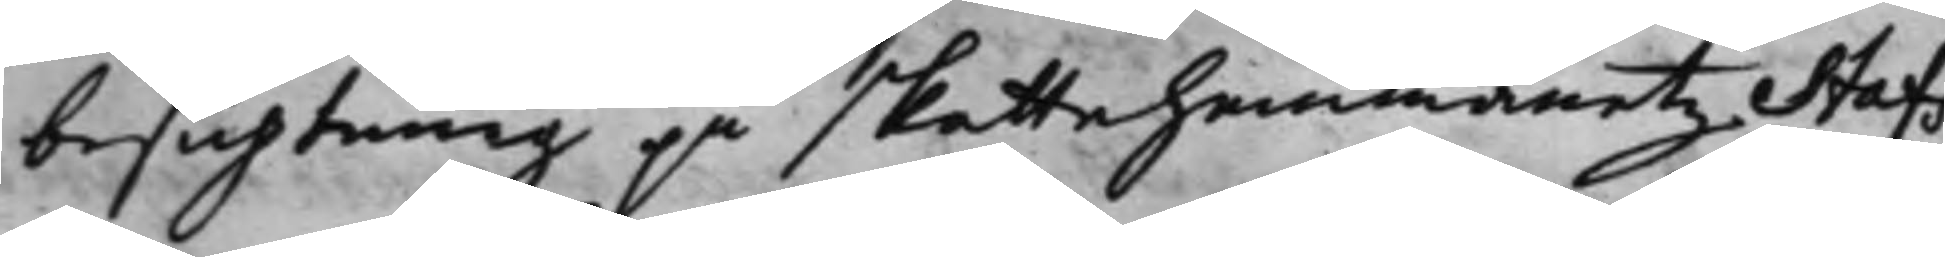besigtning på skattehemmanetz Stafs
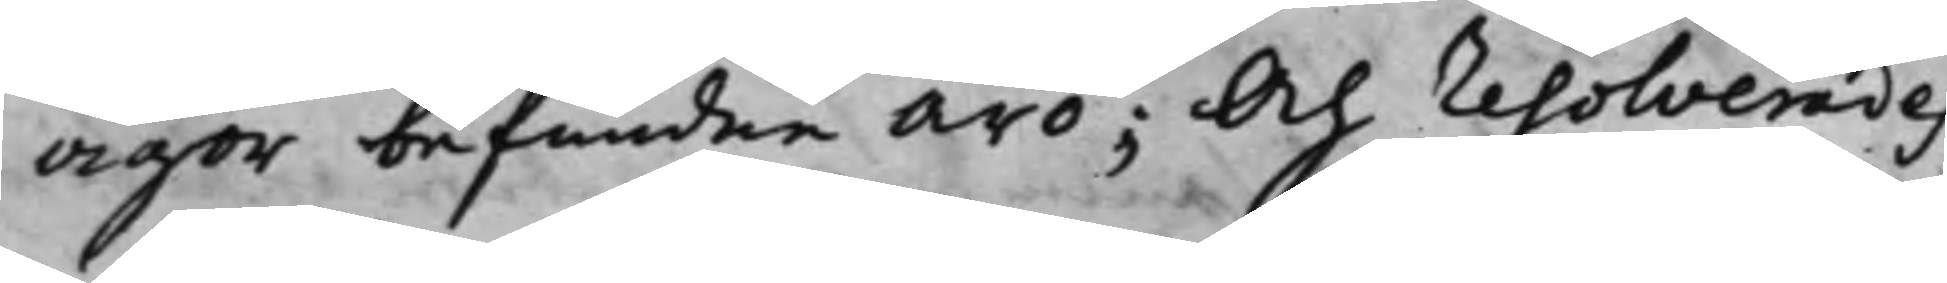ägor befundne äro; Och resolverades
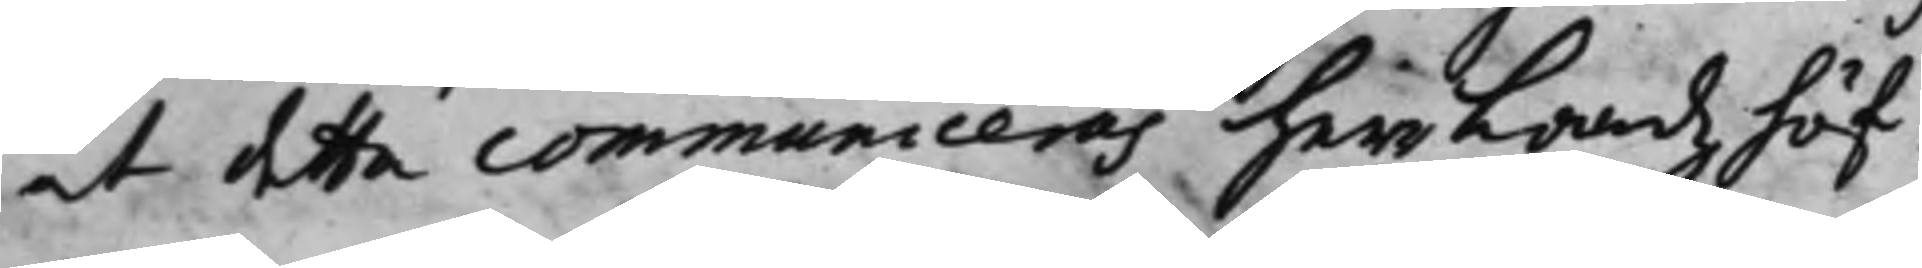at detta communiceras herr Landzhöf¬
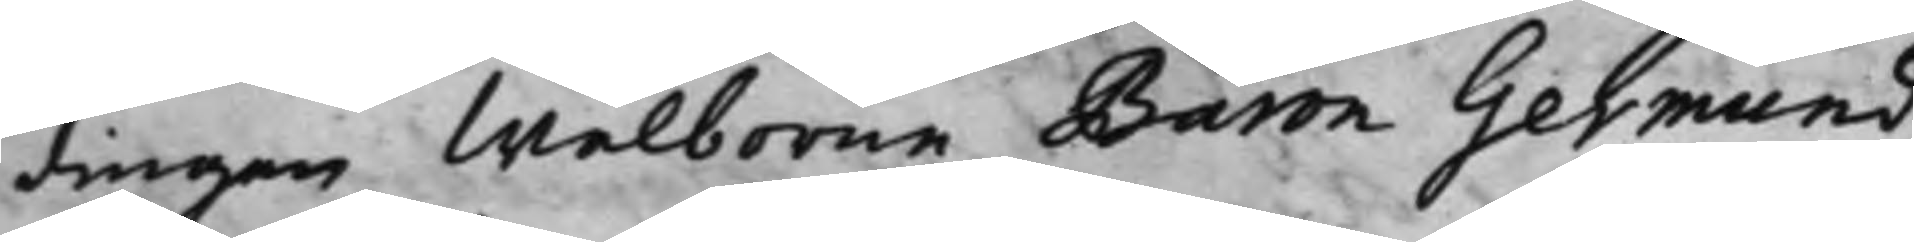dingen Wälborne Baron Germund
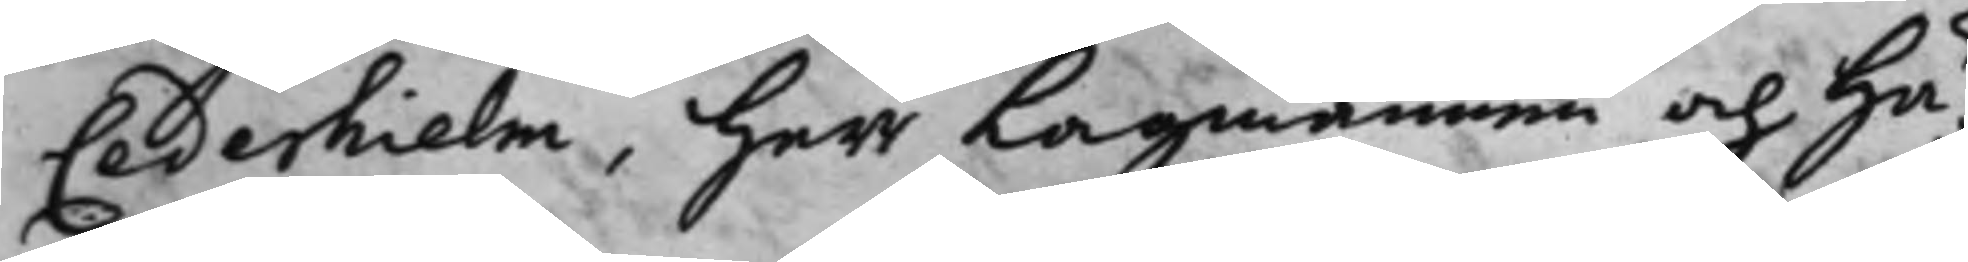Cederhielm, Herr Lagmannen och Hä¬
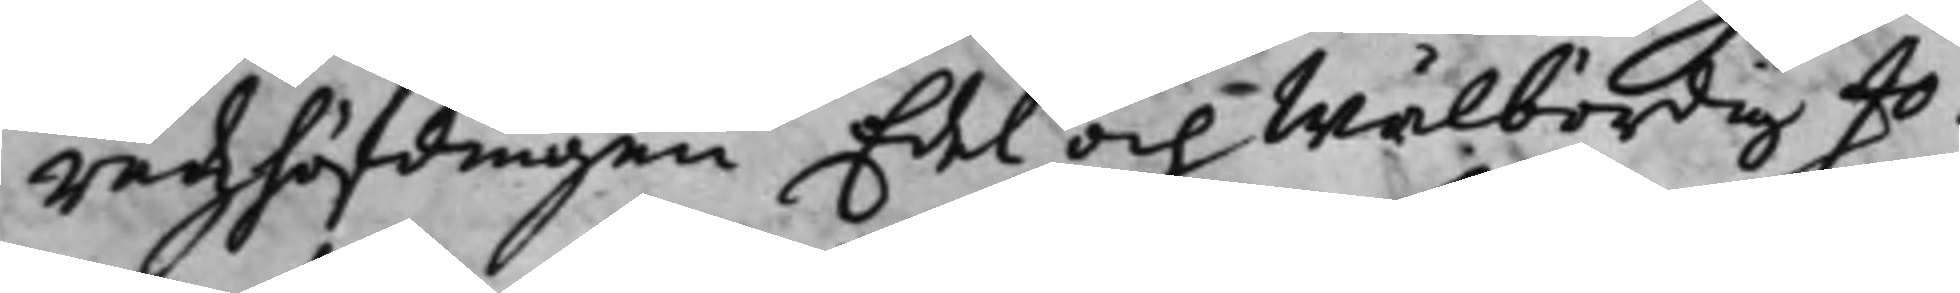radzhöfdingen Edel och Wälbördig Jo¬
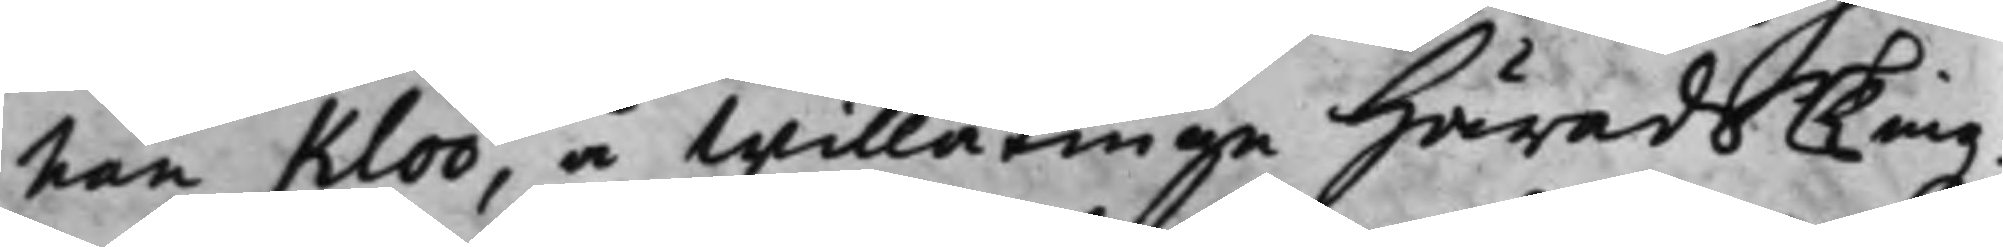han Kloo, å Willåttinge Härads Tingz¬
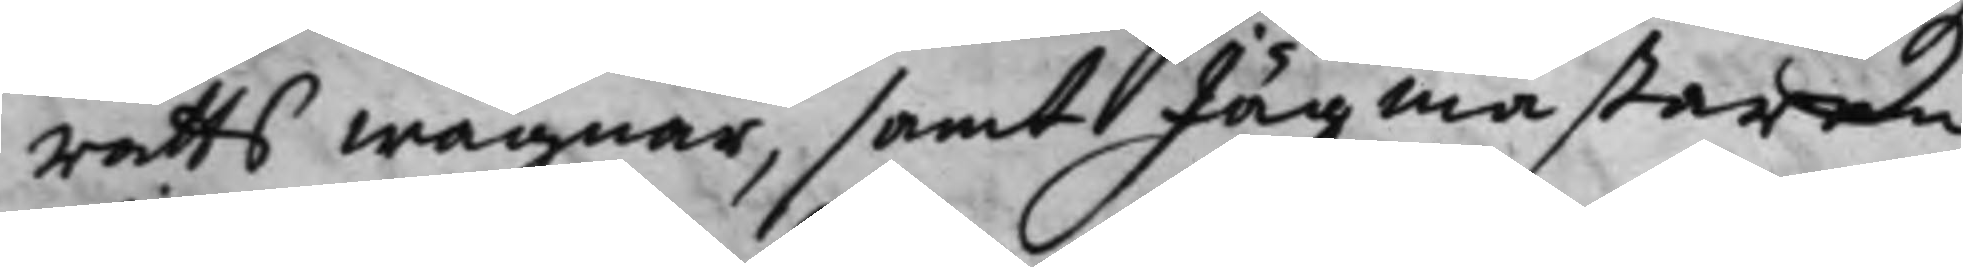rätts Wägnar, samt Jägmästaren
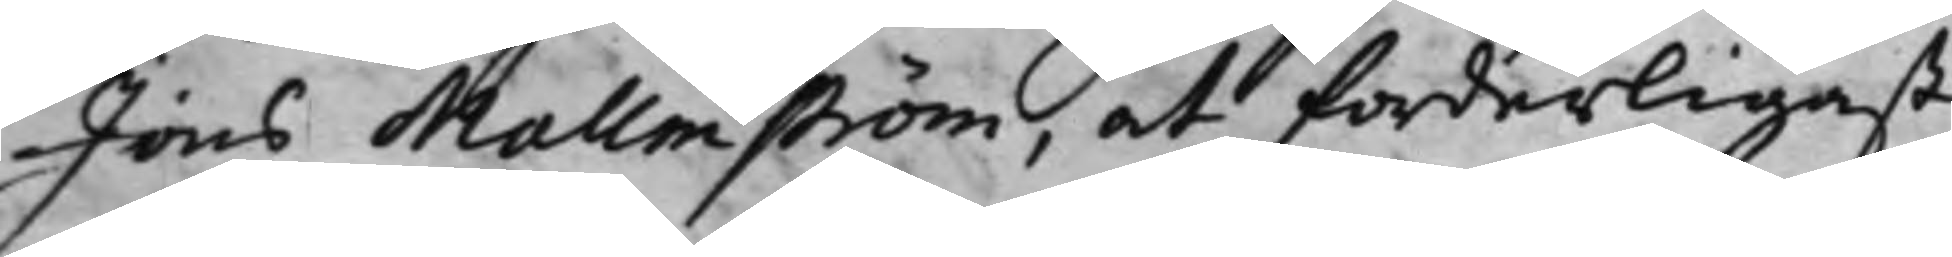Jöns Mallmström, at forderligast
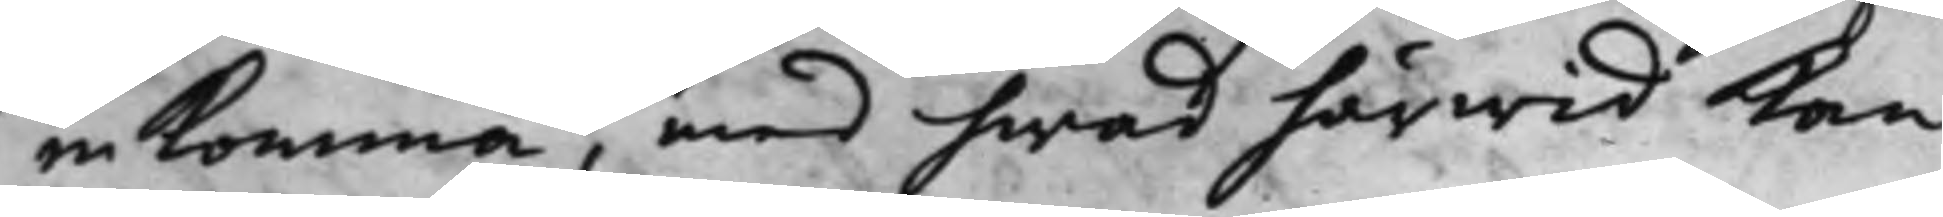in Komma, med hwad härwid Kan
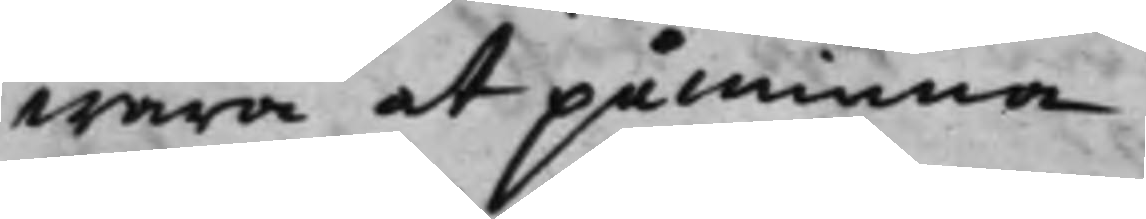wara att påminna.
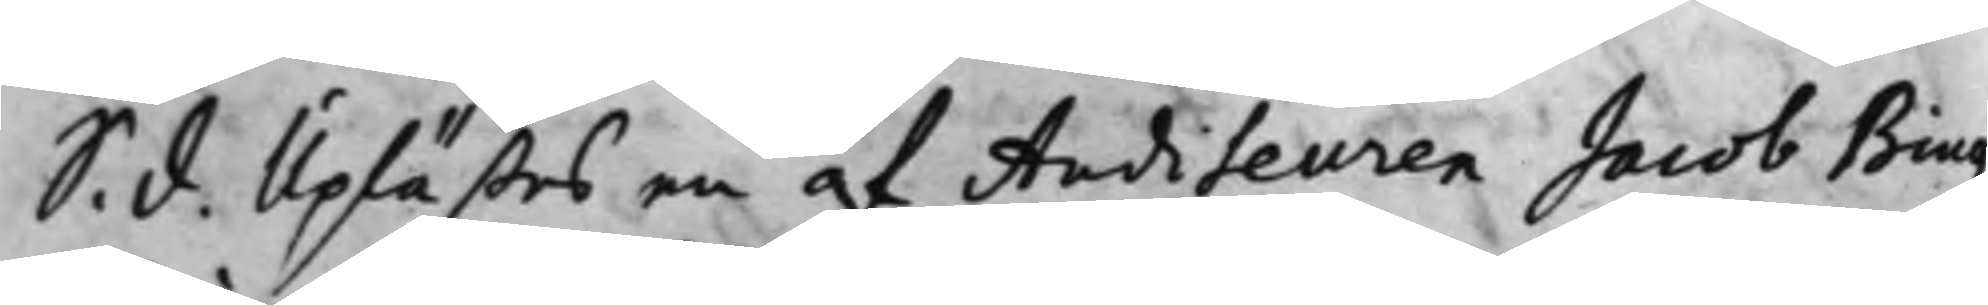S. d. Uplästes en af Auditeuren Jacob Biug¬
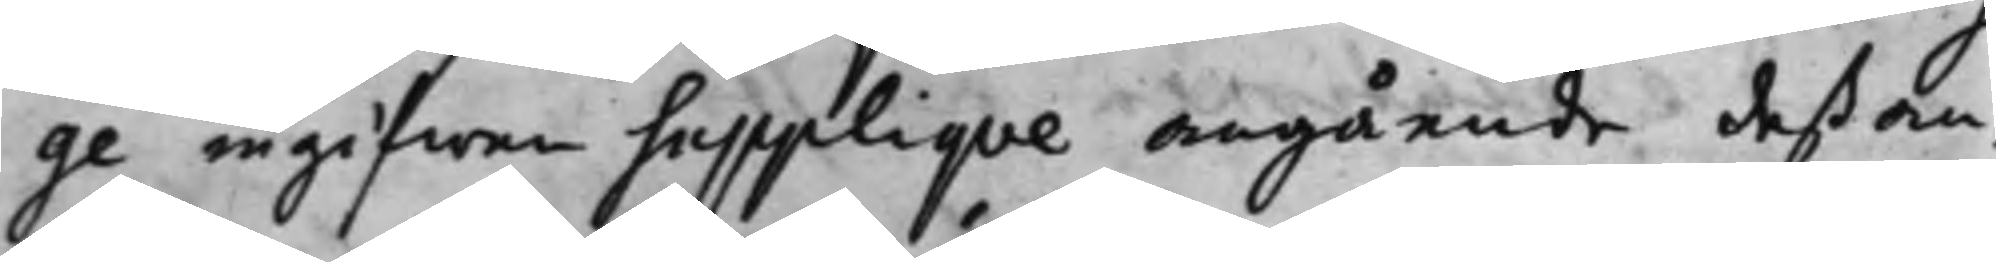ge ingifwen Suppliqve angående deß an¬
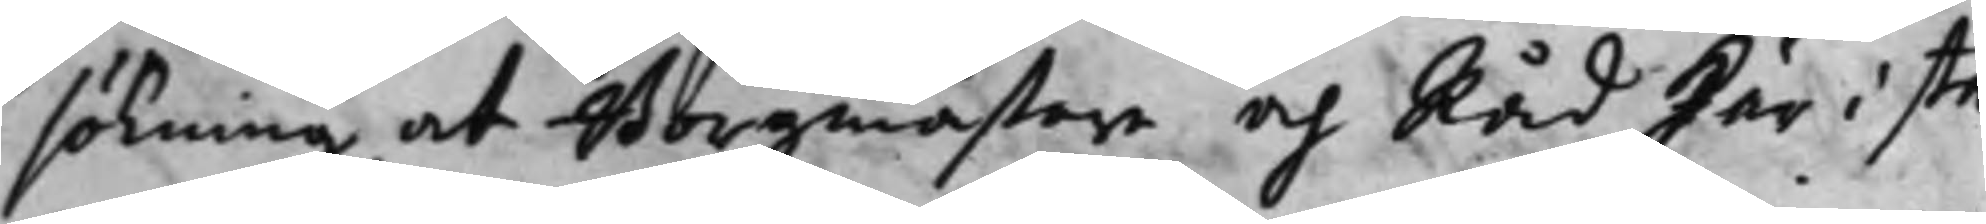sökning, at Borgmästare och Råd här i sta¬
